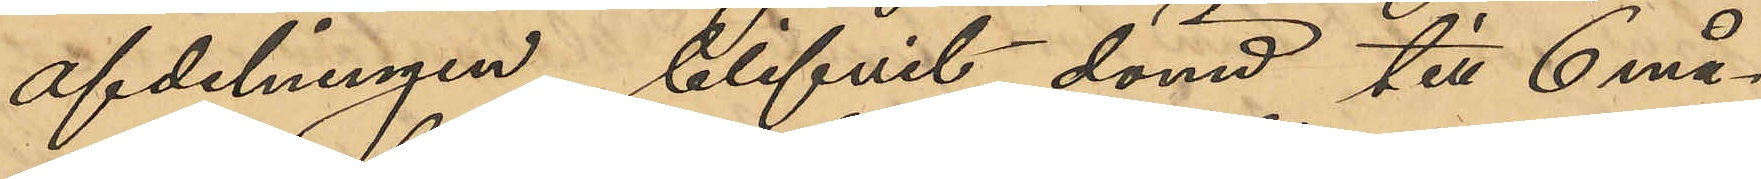afdelningen, blifvit dömd till 6 må¬
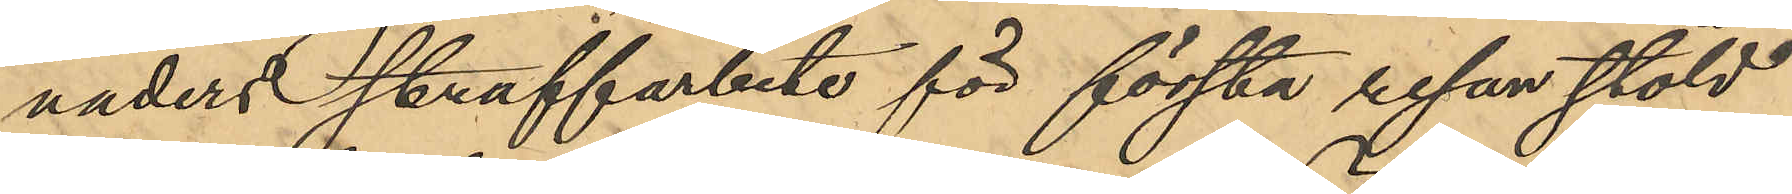naders straffarbete för första resan stöld
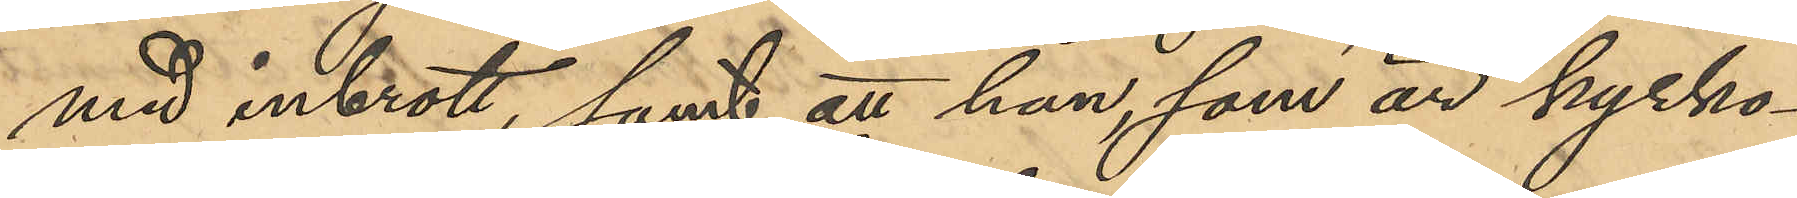med inbrott, samt att han, som är kyrko¬
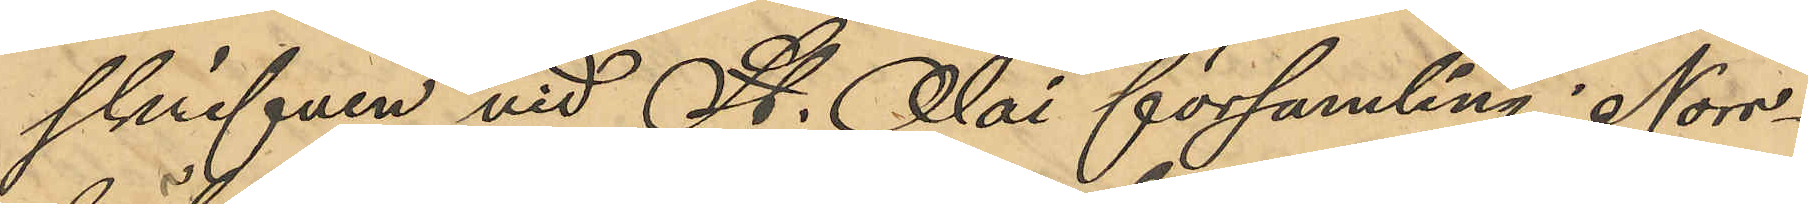skrifven vid St. Olai församling i Norr¬
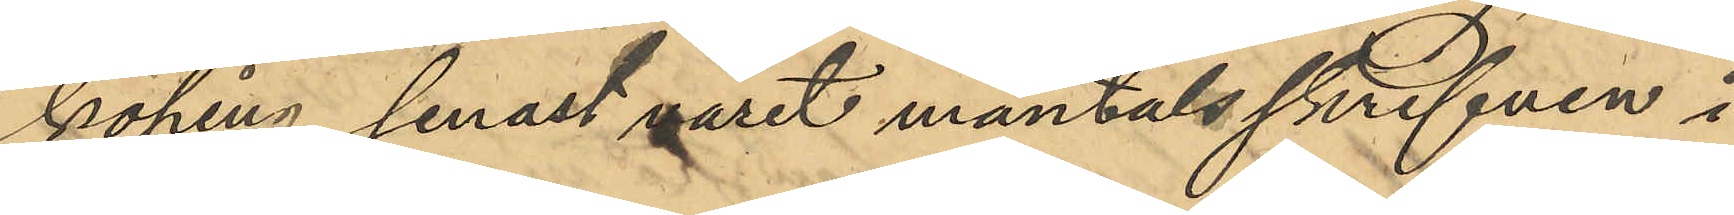köping senast varit mantalsskrifven i
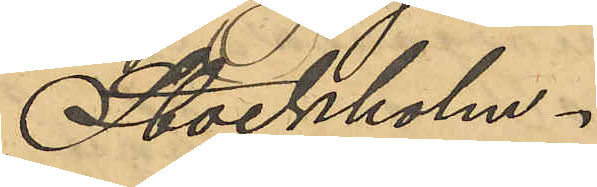Stockholm.
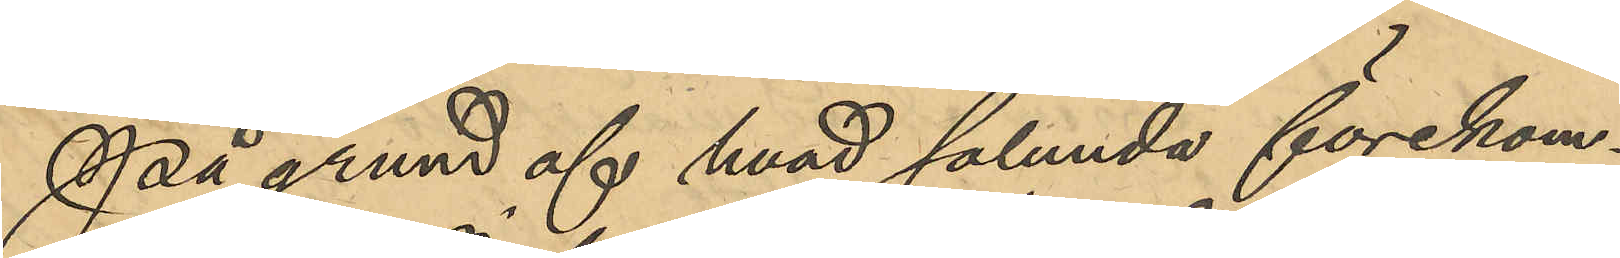På grund af hvad sålunda förekom¬
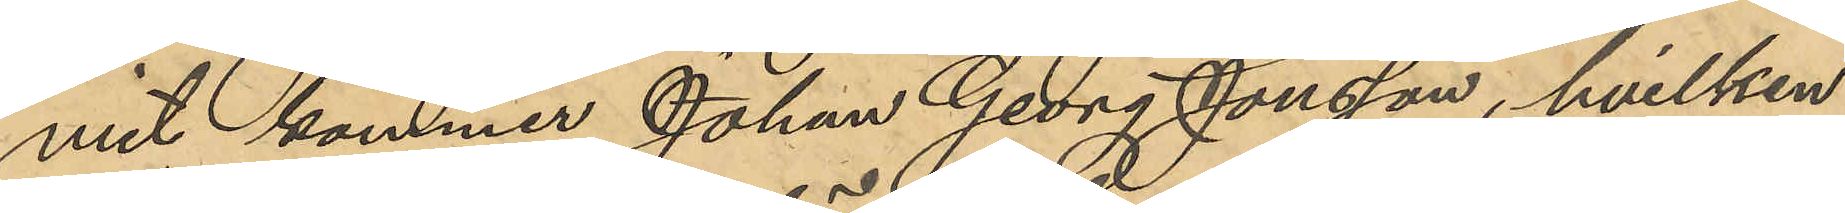mit kommer Johan Georg Jonsson, hvilken
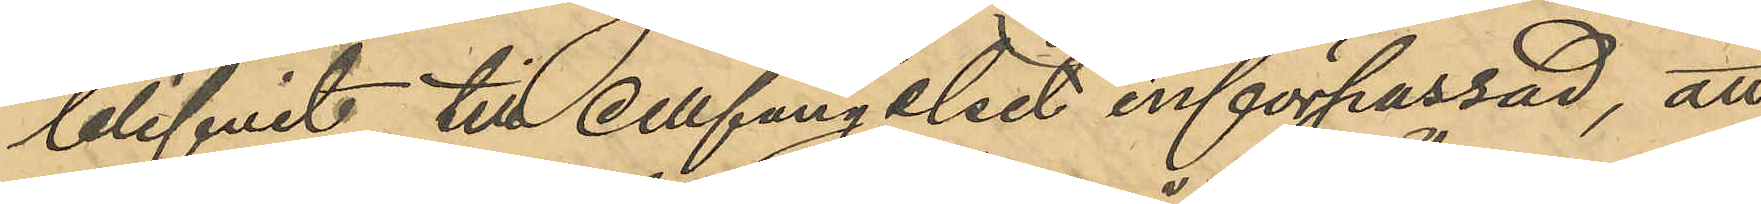blifvit till cellfängelset införpassad, att
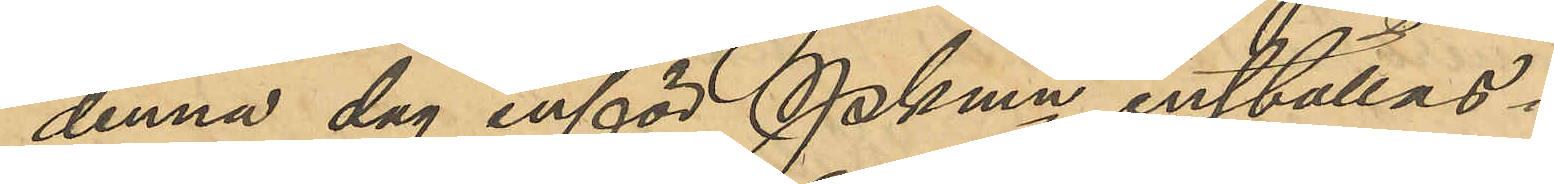denna dag inför Pkmn inställas.
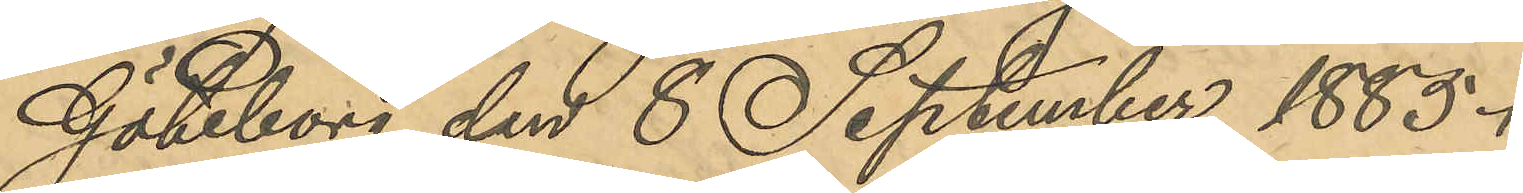Göteborg den 8 September 1885.
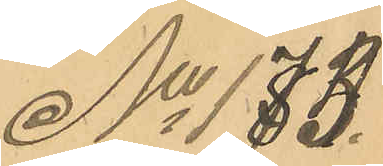No 173.
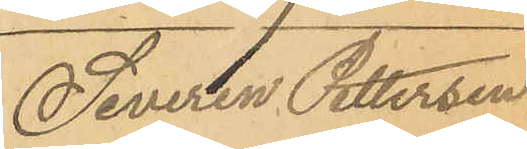Severin Pettersen
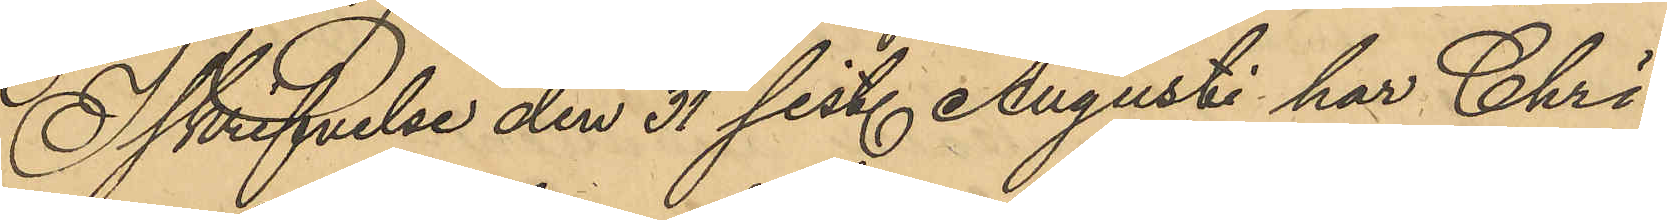I skrifvelse den 31 sist. Augusti har Chri¬
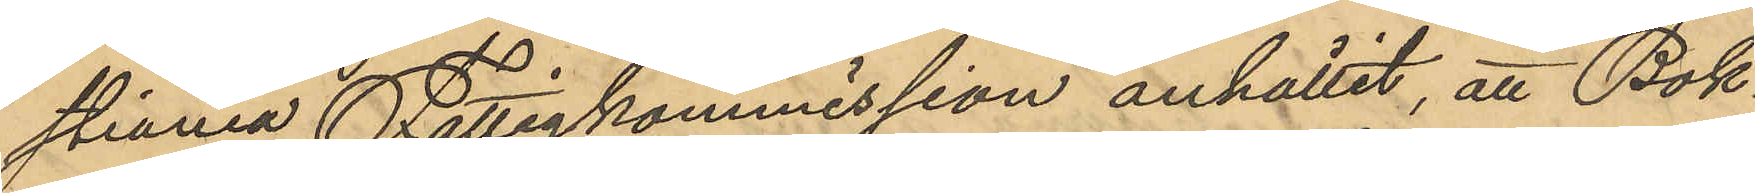stiania Fattigkommission anhållit, att Bok¬
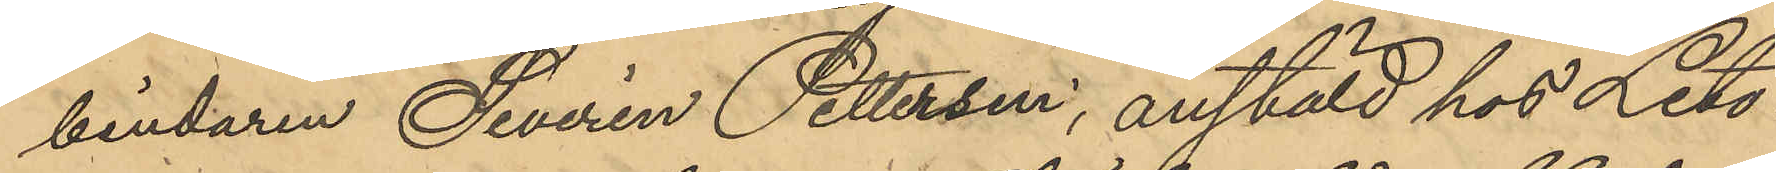bindaren Severin Pettersen, anstäld hos Lito¬
